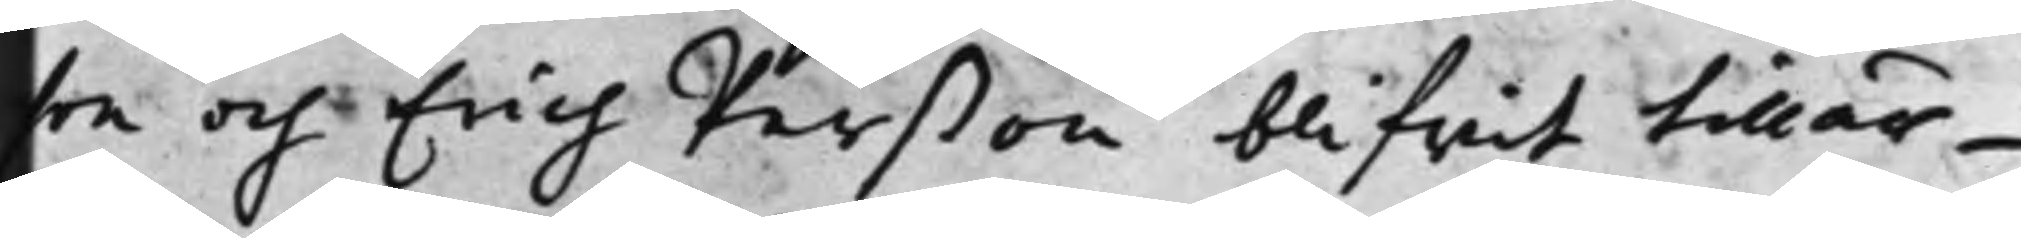son och Erich Perßon blifwit tillär¬
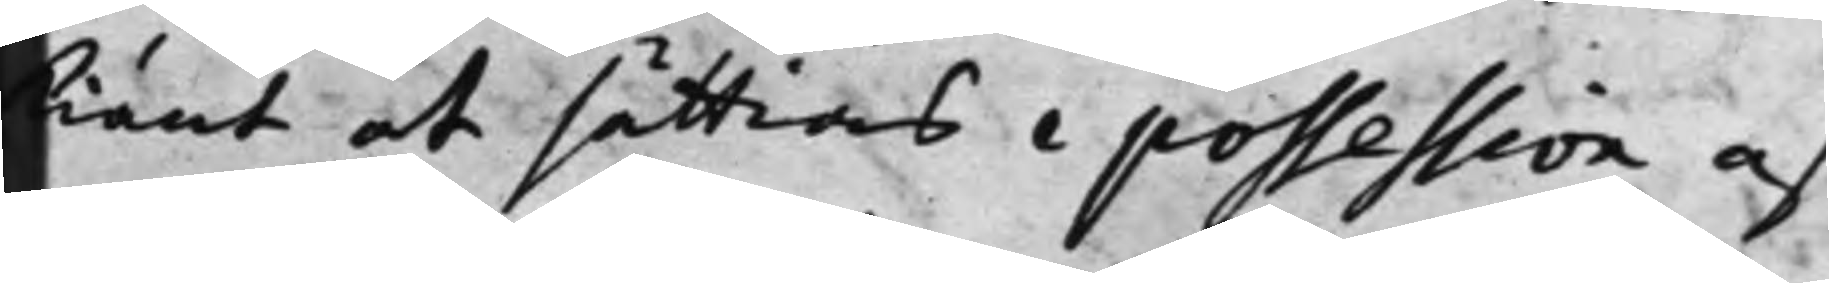kiänt at sättias i possession af
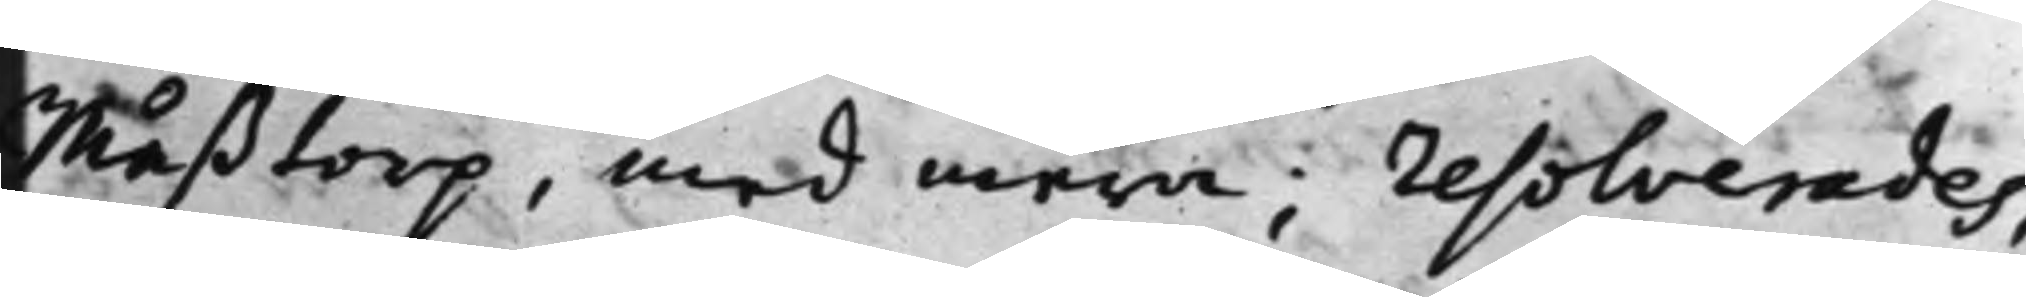Måßtorp, med mera; resolverades,
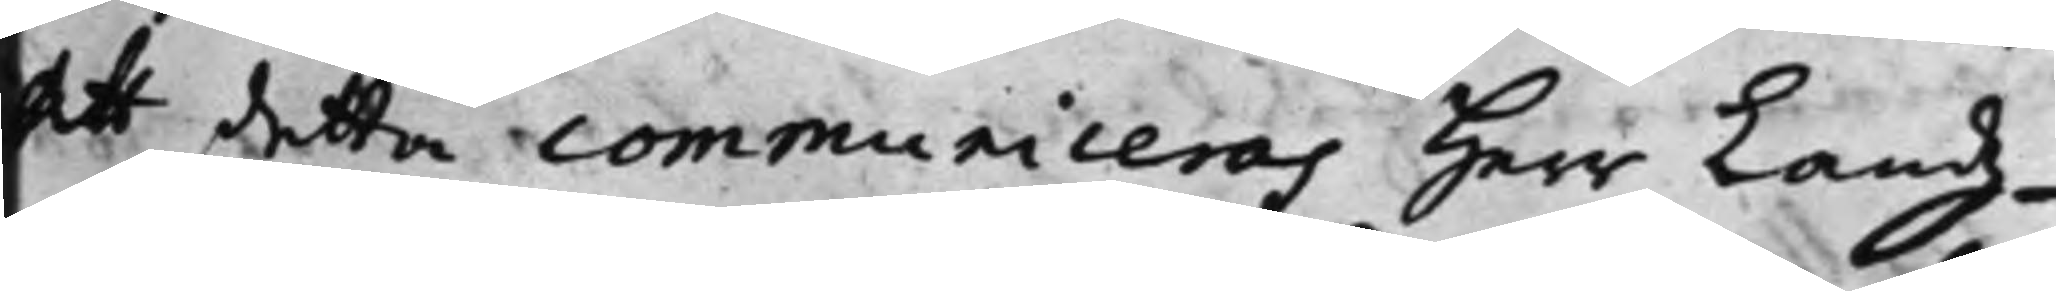att detta communiceras Herr Landz¬
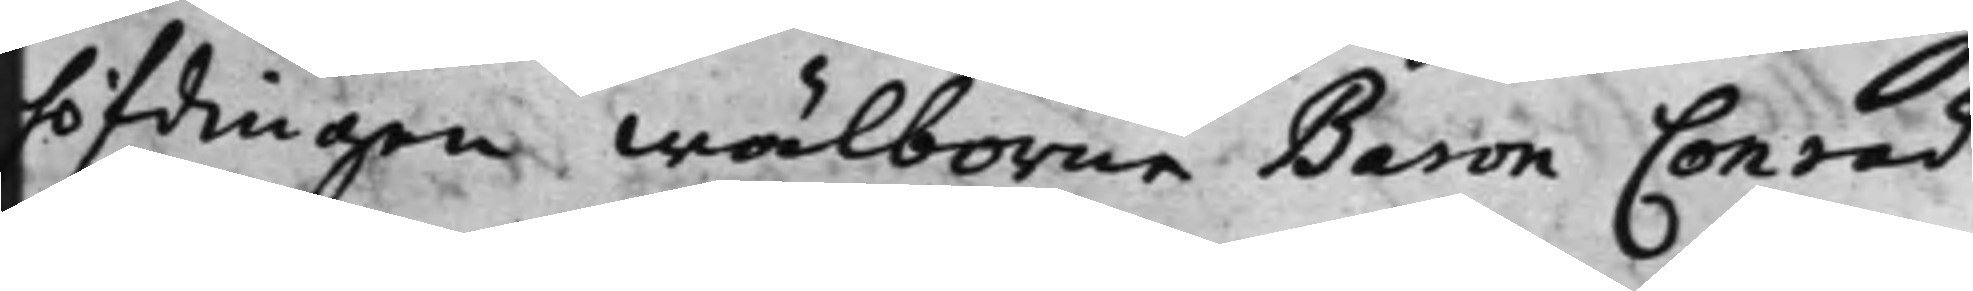höfdingen wälborne Baron Conrad
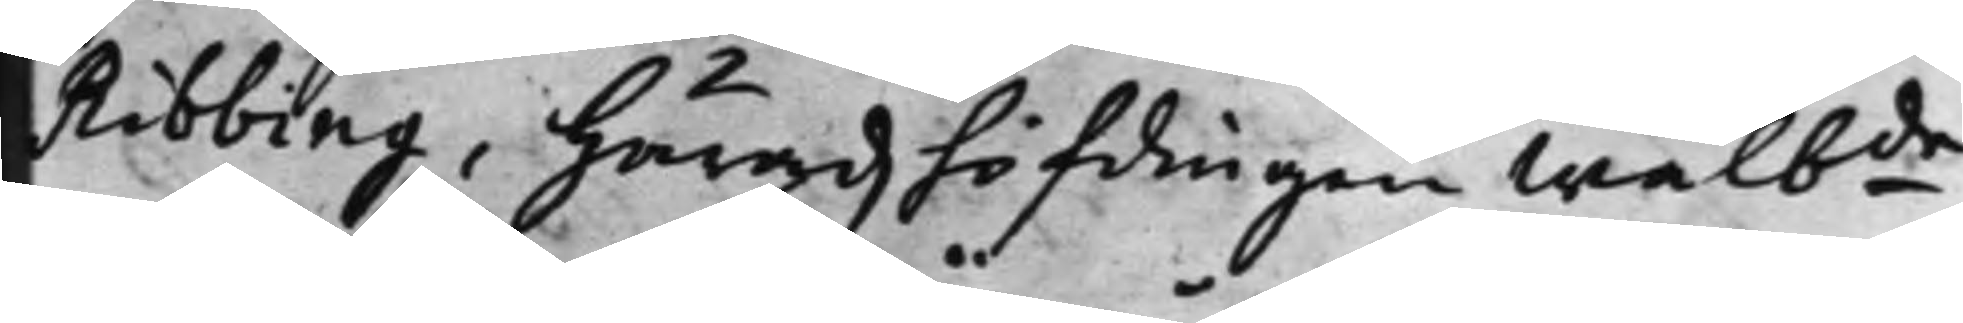Ribbing, Häradzhöfdingen Wälbde 
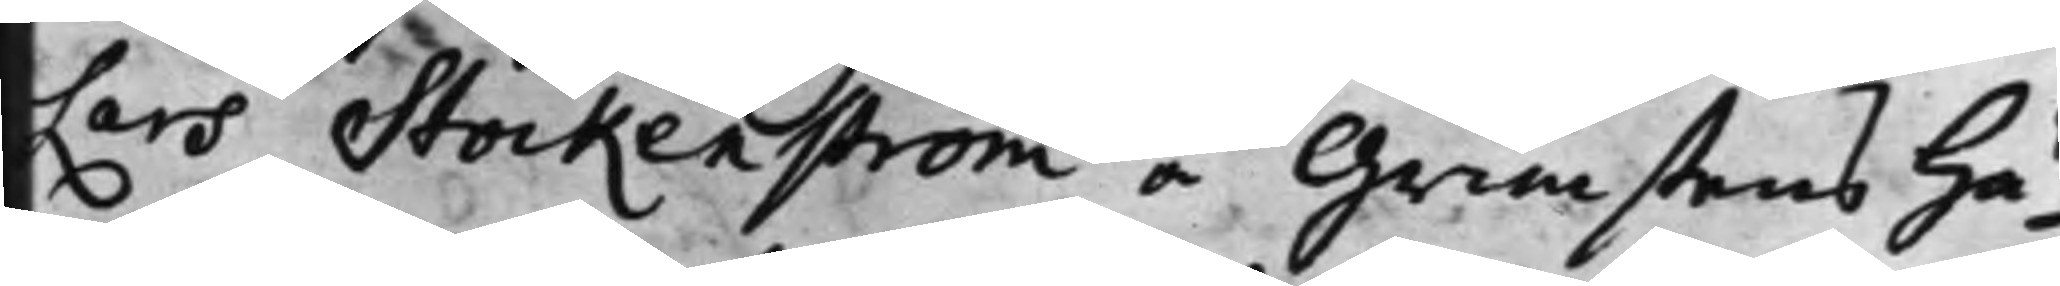Lars Stockenström å Grimstens Hä¬
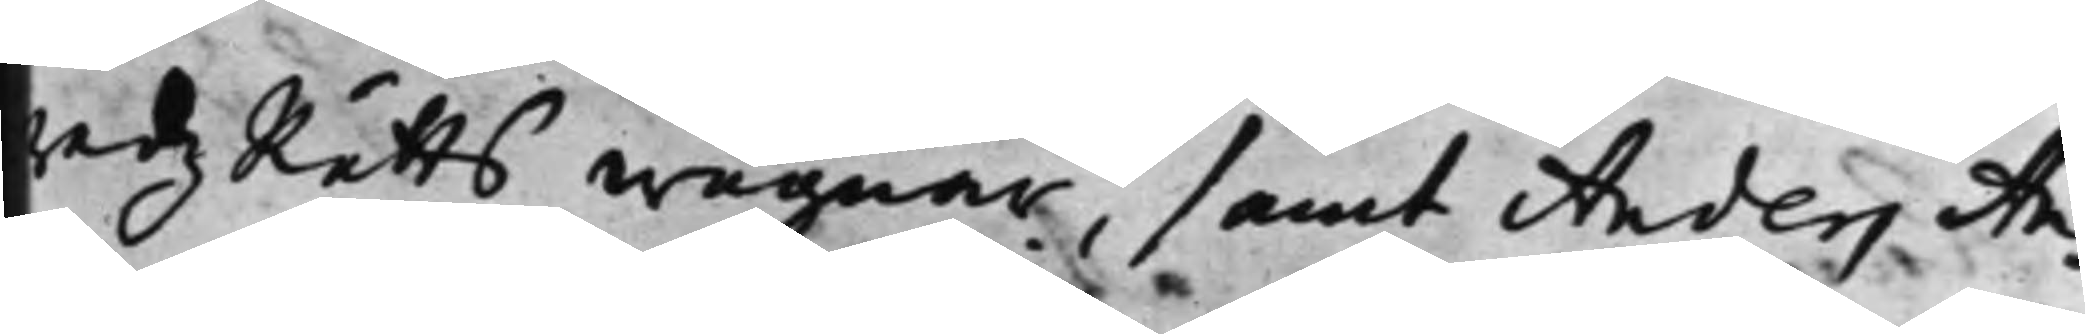radz Rätts wägnar, samt Anders An¬
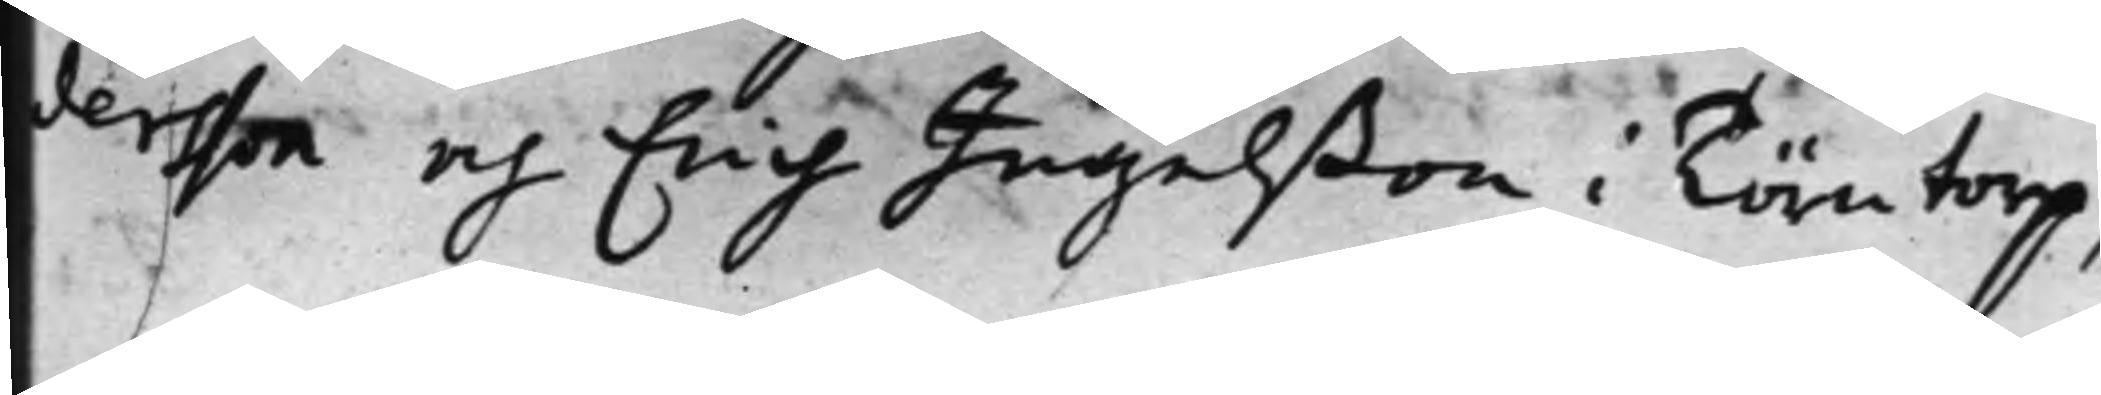dersson och Erich Ingelßon i Törntorp,
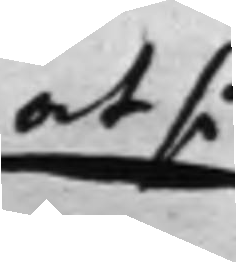at så
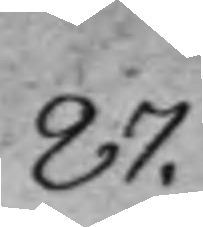87.
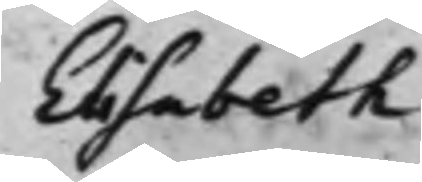Elisabeth
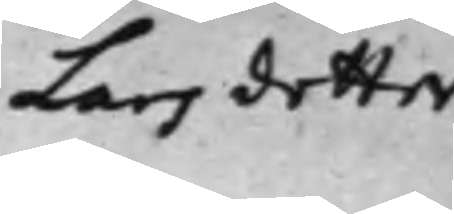Lars dotter
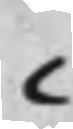C
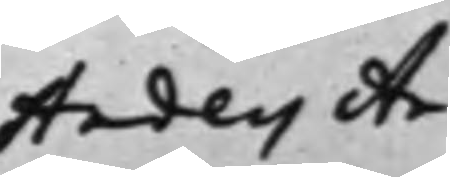Anders An¬
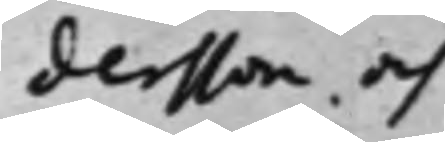dersson, och
